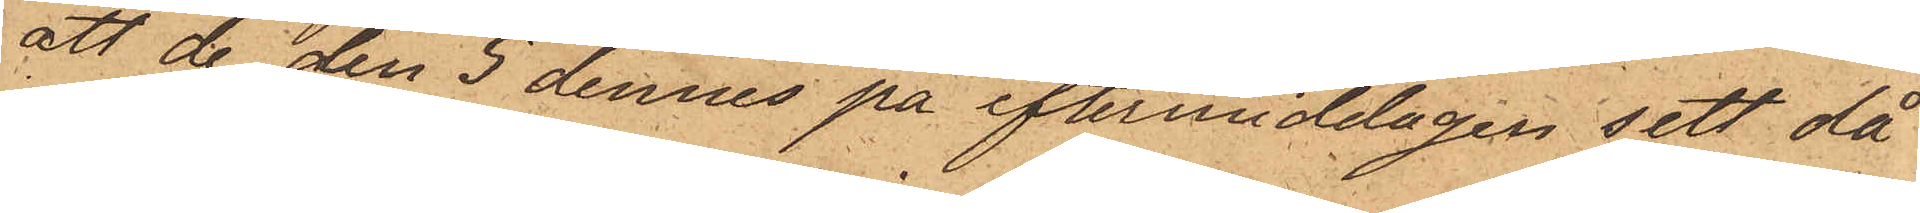att de den 5 dennes på eftermiddagen sett då
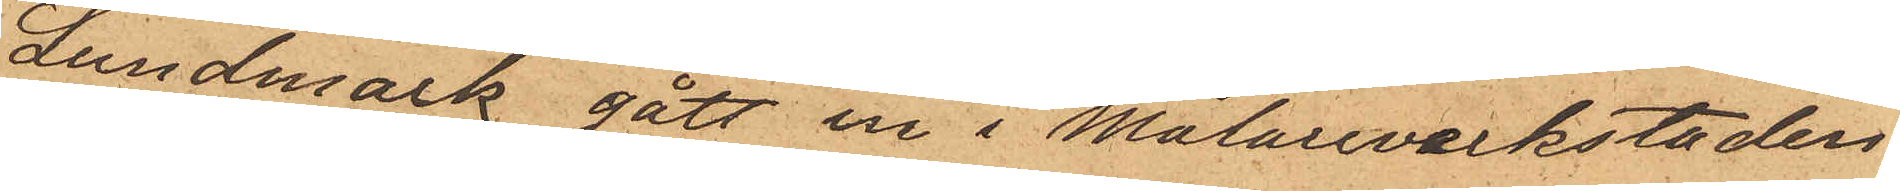Lundmark gått in i Målareverkstaden
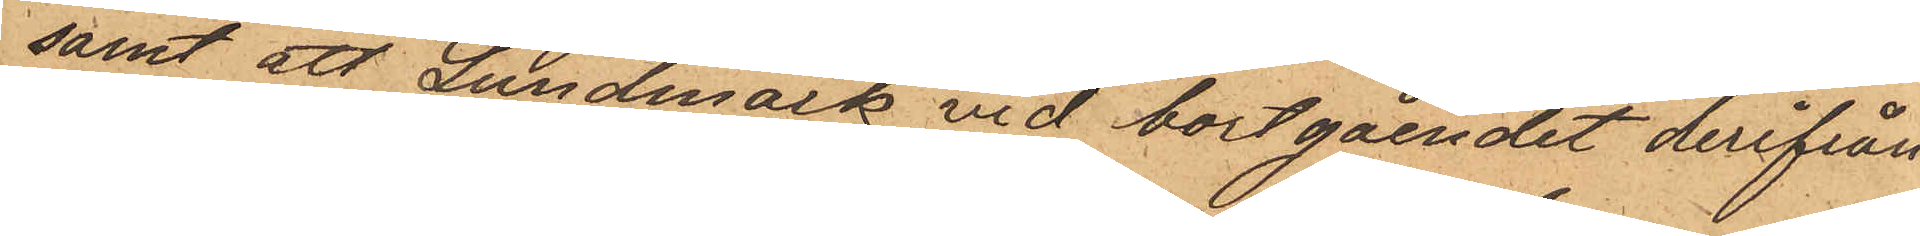samt att Lundmark vid bortgåendet derifrån
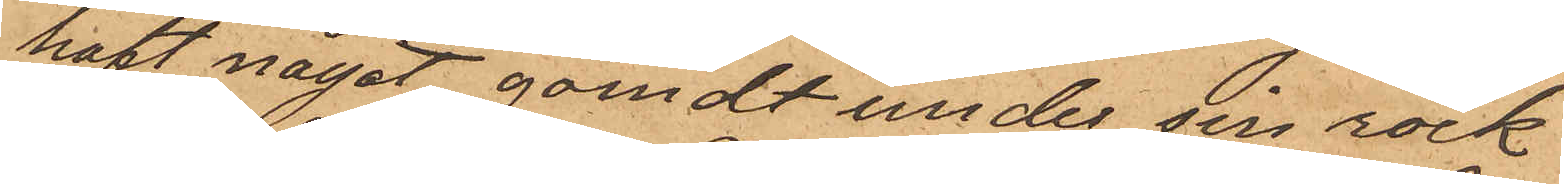haft något gömdt under sin rock
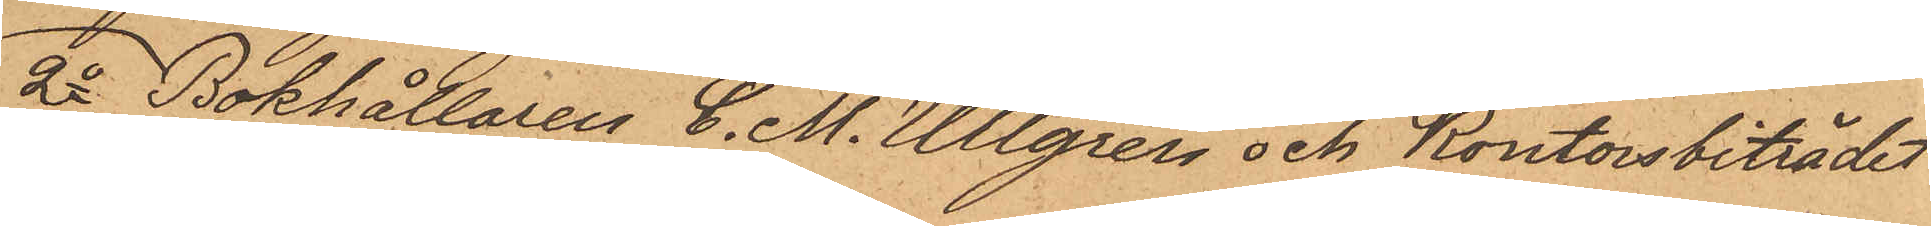2o Bokhållaren C. M. Ullgren och Kontorsbiträdet
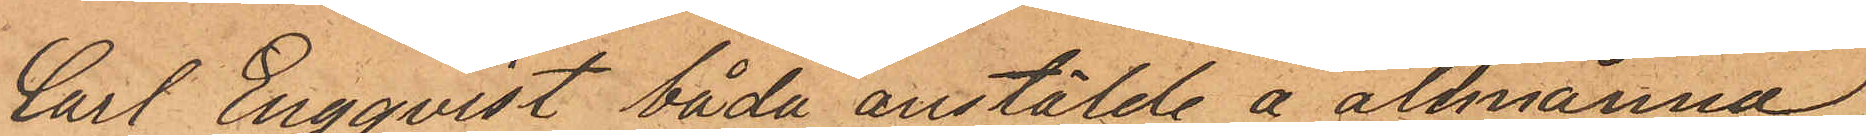Cart Engqvist båda anstälde å allmänna
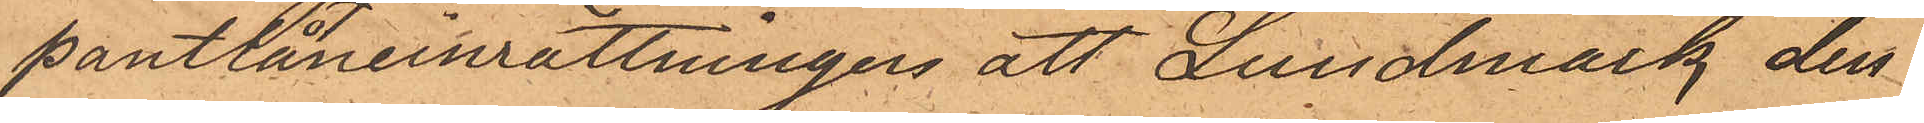pantlåneinrättningen att Lundmark den
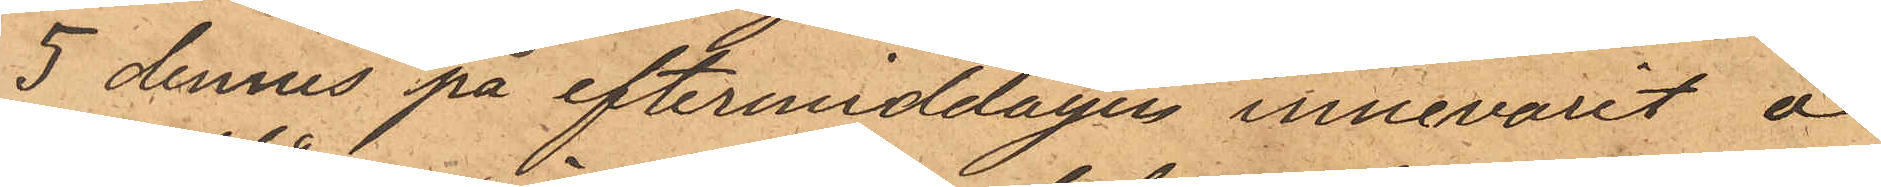5 dennes på eftermiddagen innevarit å
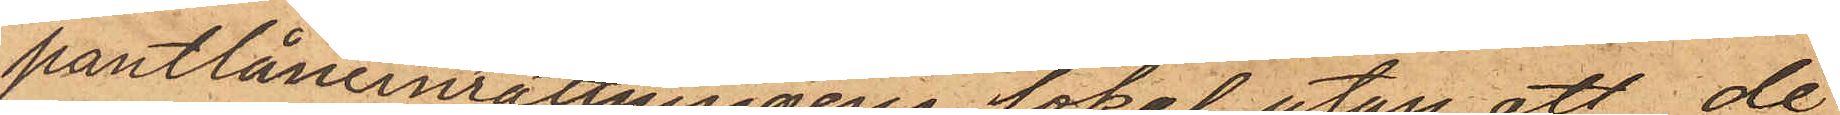pantlåneinrättningens lokal utan att de
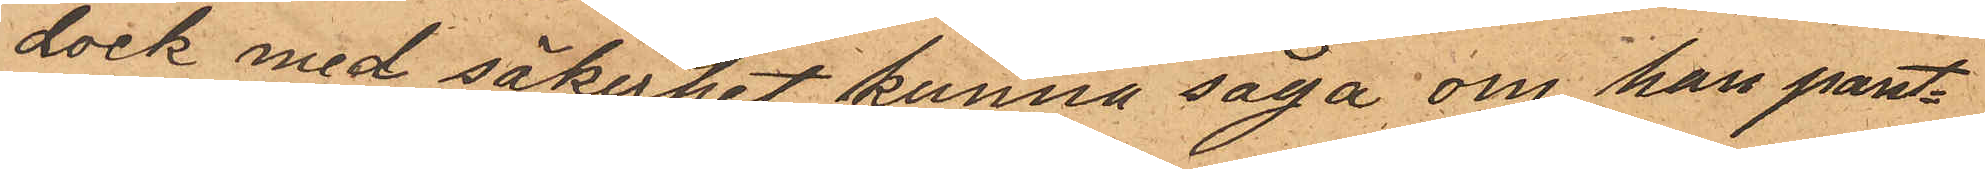dock med säkerhet kunna säga om han pant¬
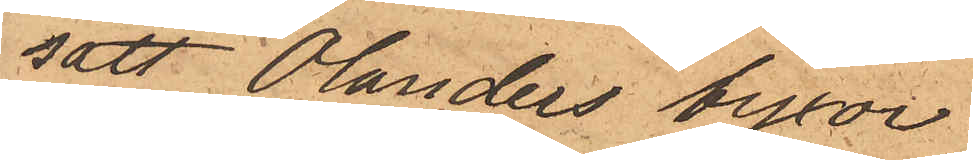satt Olanders byxor.
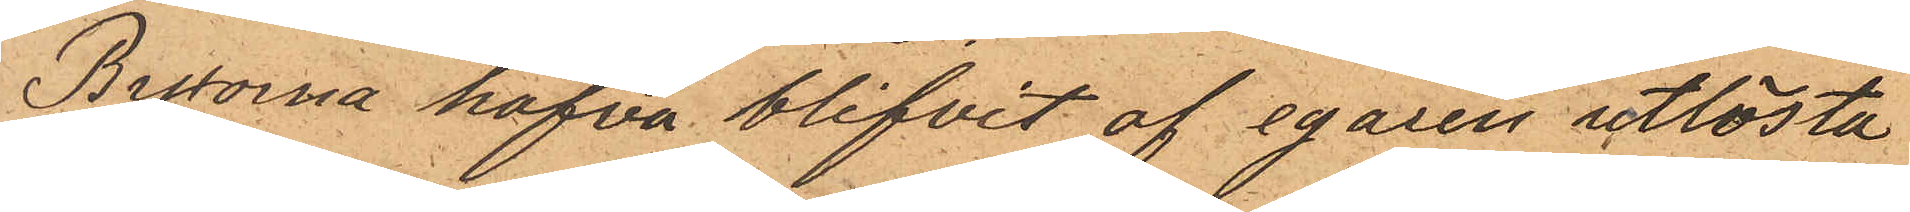Byxorna hafva blifvit af egaren utlösta
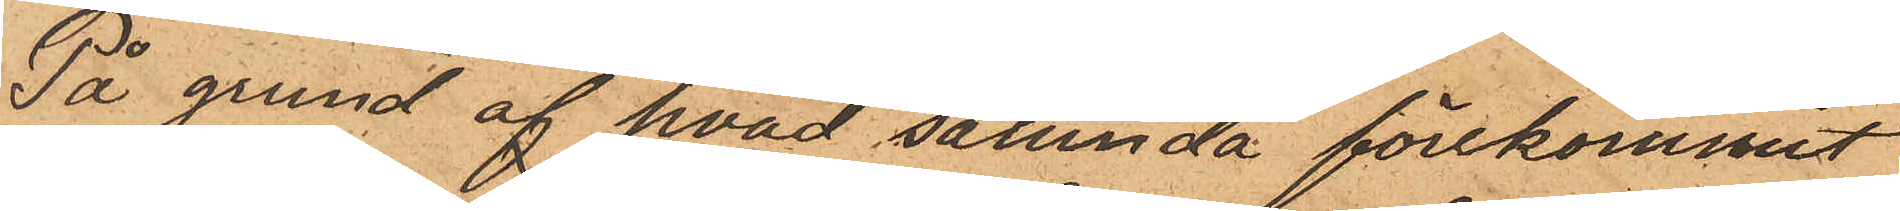På grund af hvad sålunda förekommit
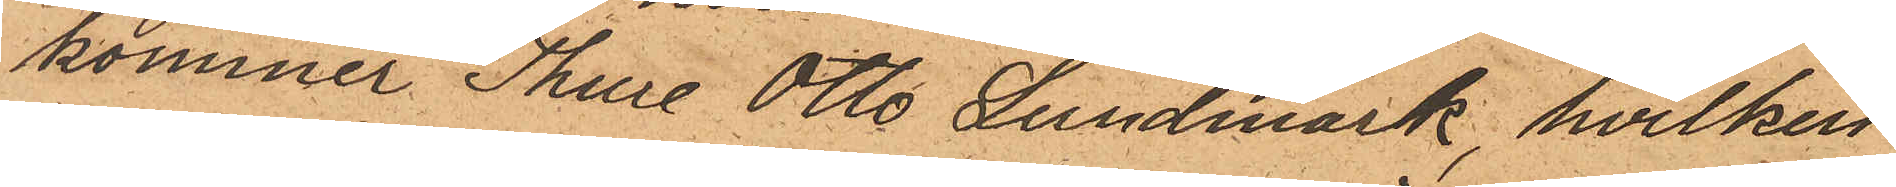kommer Thure Otto Lundmark, hvilken
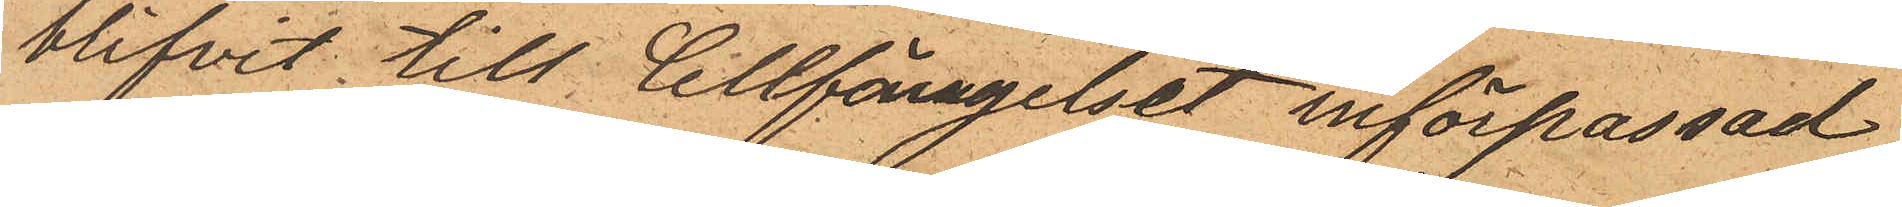blifvit till Cellfängelset införpassad,
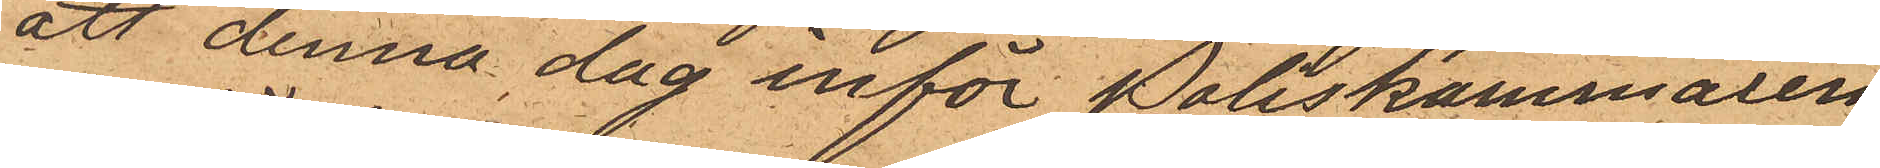att denna dag inför Poliskammaren
